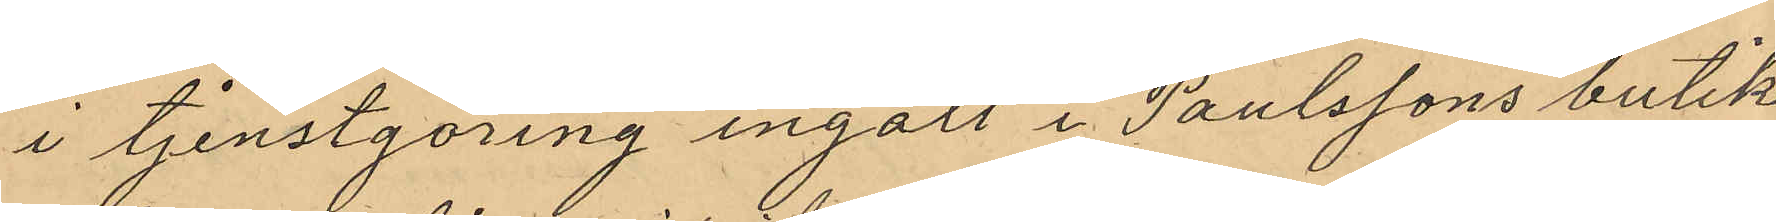i tjenstgöring ingått i Paulssons butik
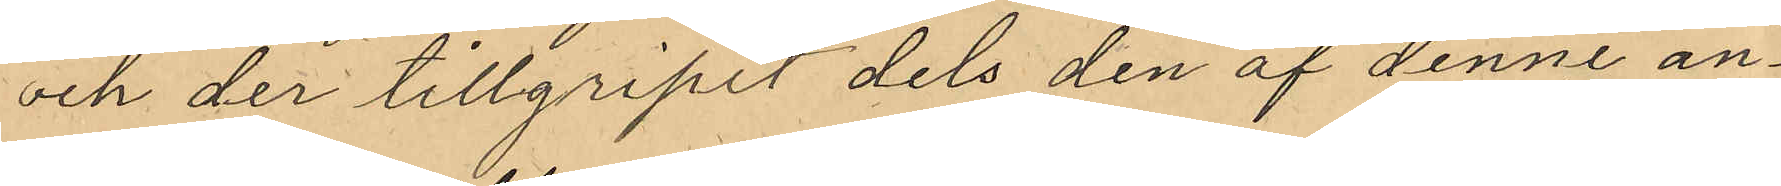och der tillgripit dels den af denne an¬
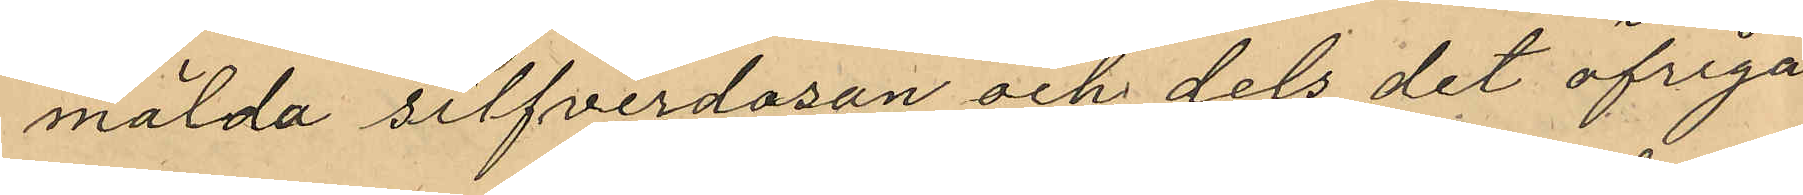mälda silfverdosan och dels det öfriga
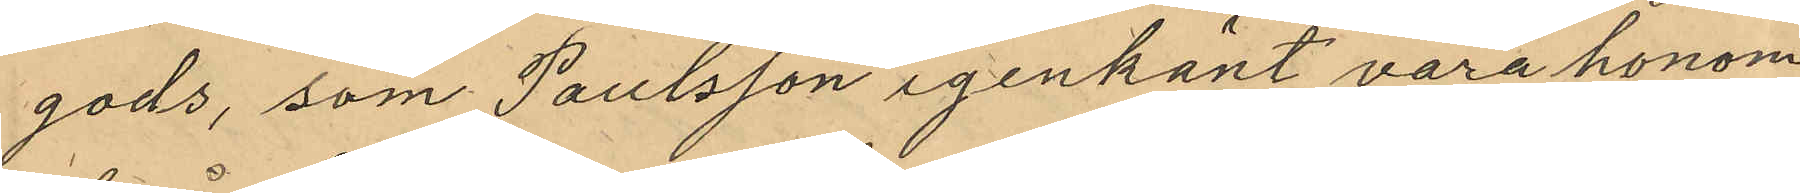gods, som Paulsson igenkänt vara honom
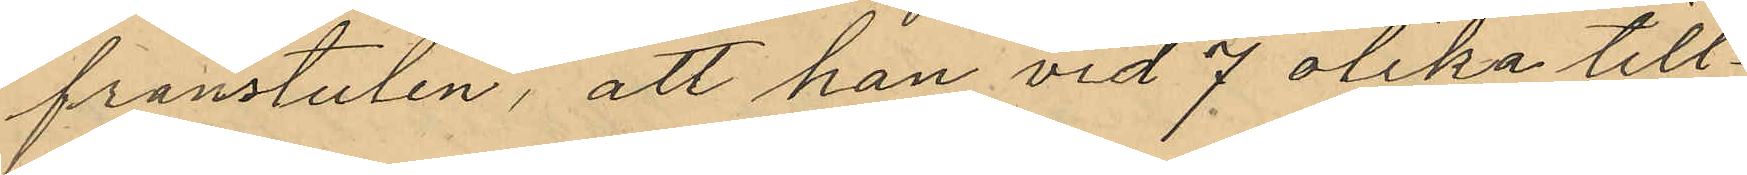frånstulen, att han vid 7 olika till¬
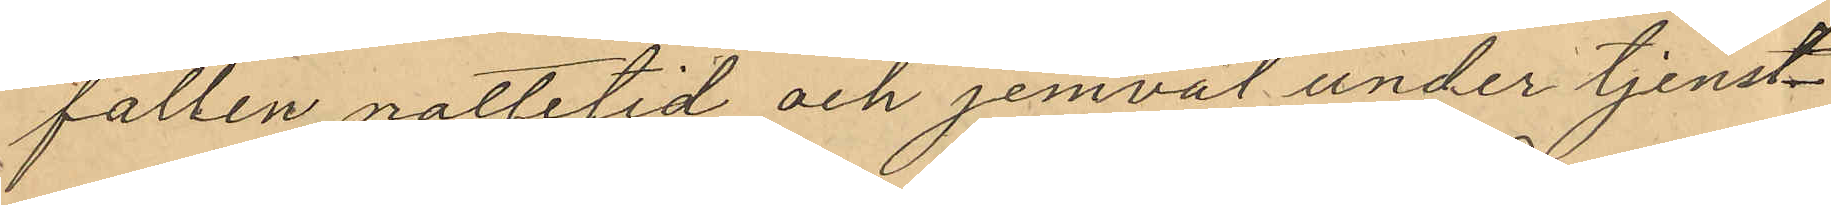fällen nattetid och jemväl under tjenst¬
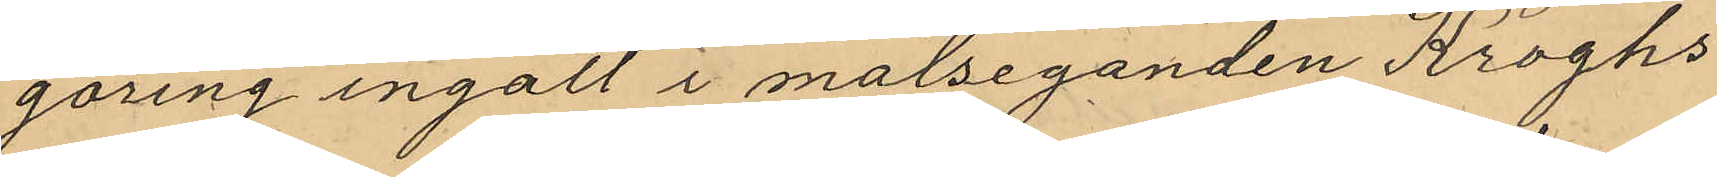göring ingått i målseganden Kroghs
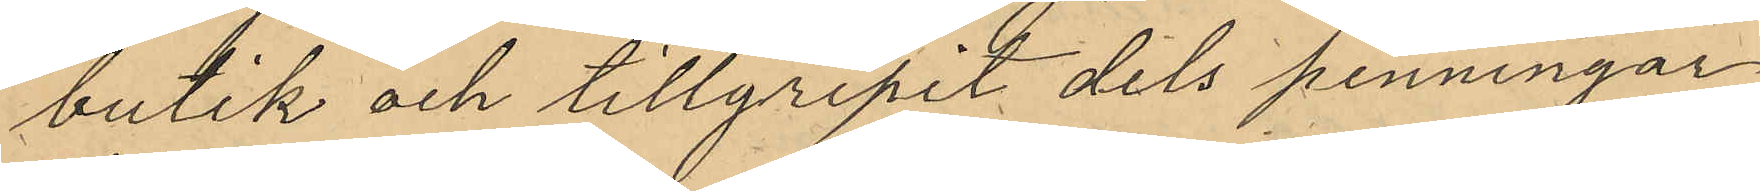butik och tillgripit dels penningar
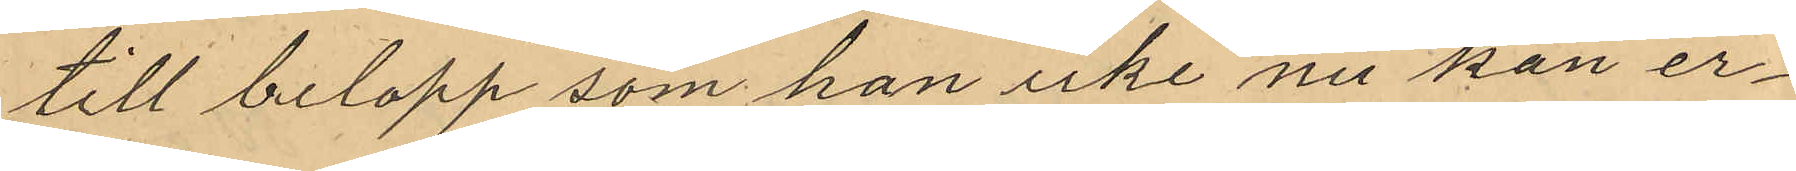till belopp som han icke nu kan er¬
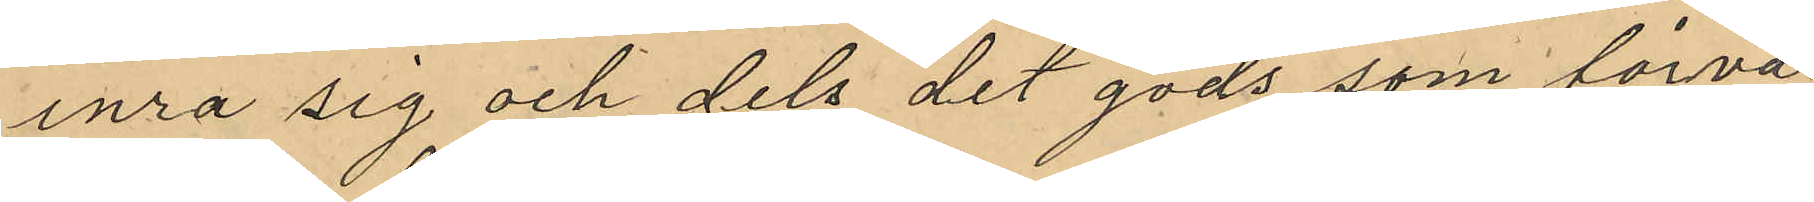inra sig och dels det gods som förva¬
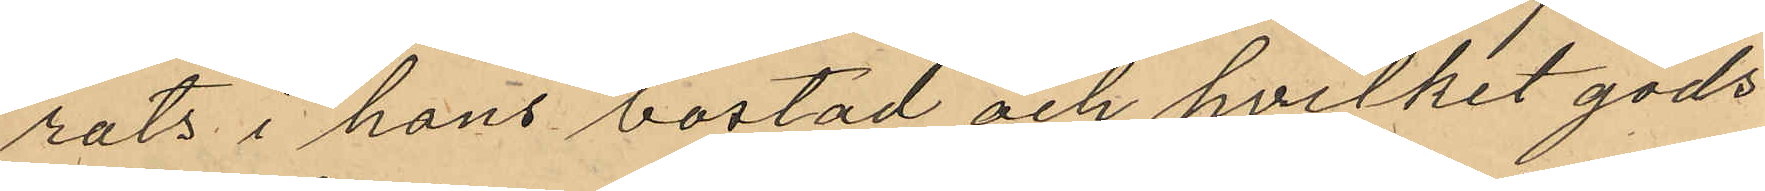rats i hans bostad och hvilket gods
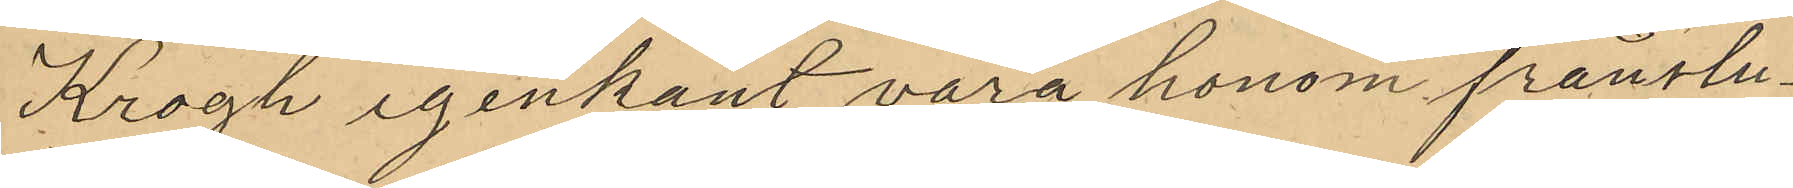Krogh igenkänt vara honom frånstu¬
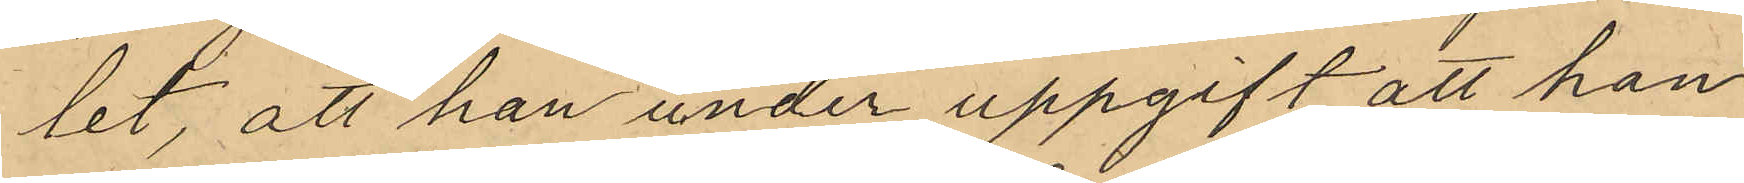tet, att han under uppgift att han
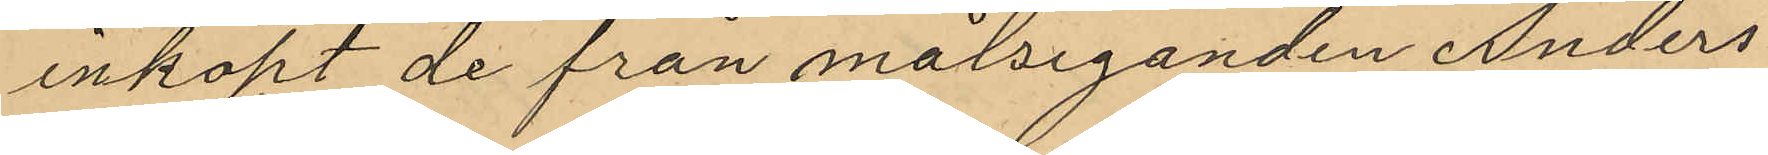inköpt de från målseganden Anders¬
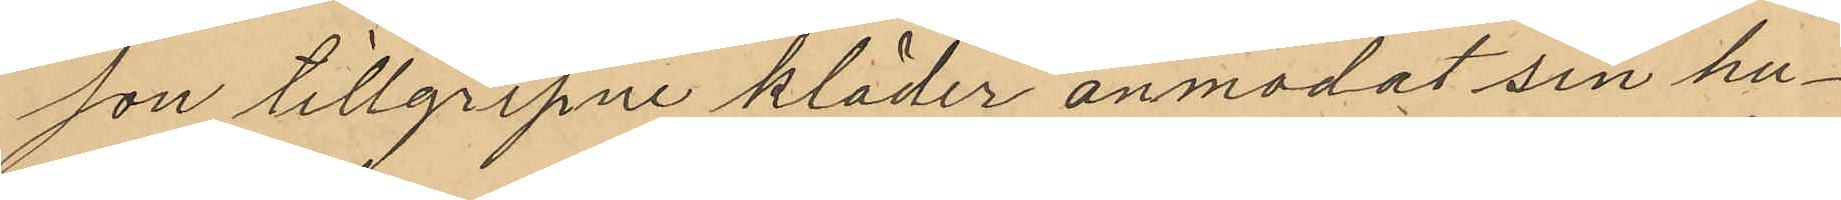son tillgripne kläder anmodat sin hu¬
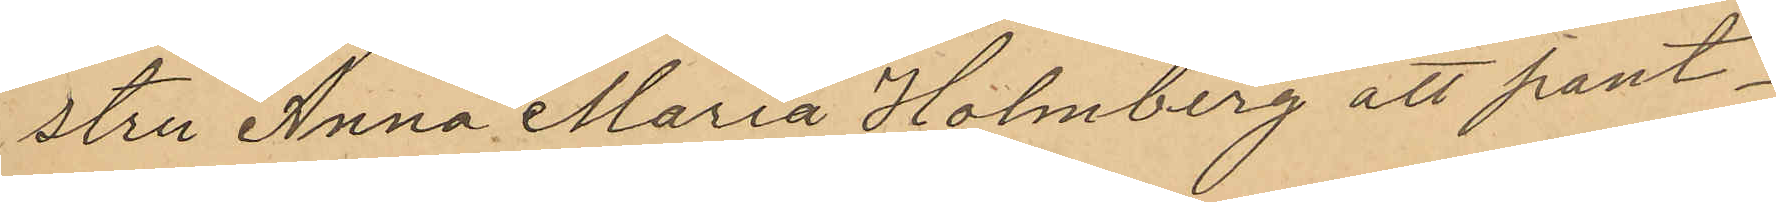stru Anna Maria Holmberg att pant¬
